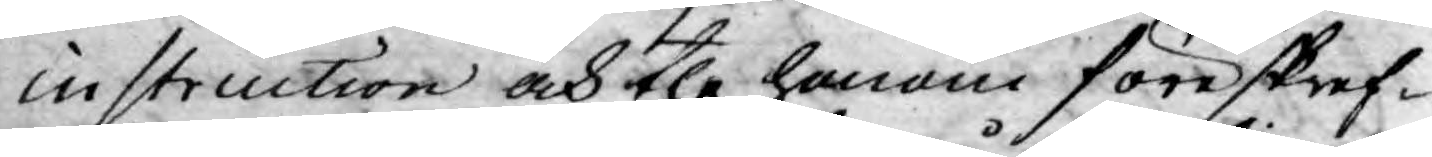instruction och the honom föreskref¬
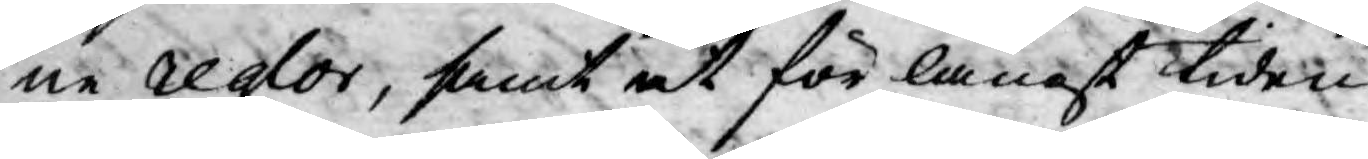ne reglor, samt at för långt tiden
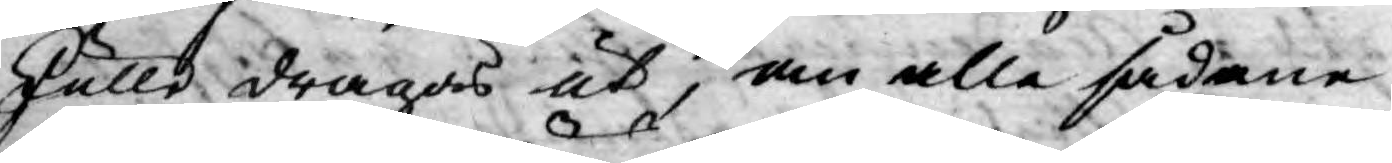skulle dragas ut, om alle sådane
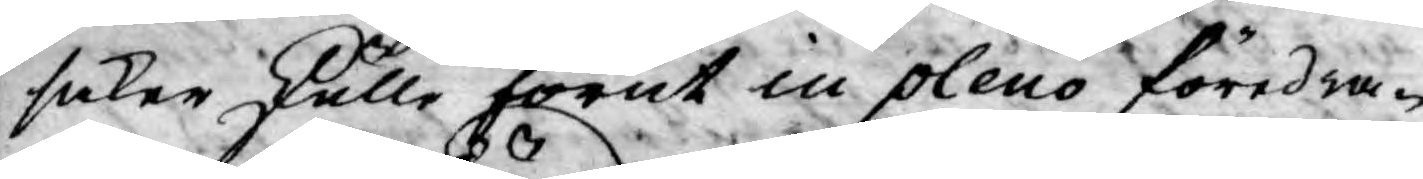saker kulle förut in pleno föredra¬
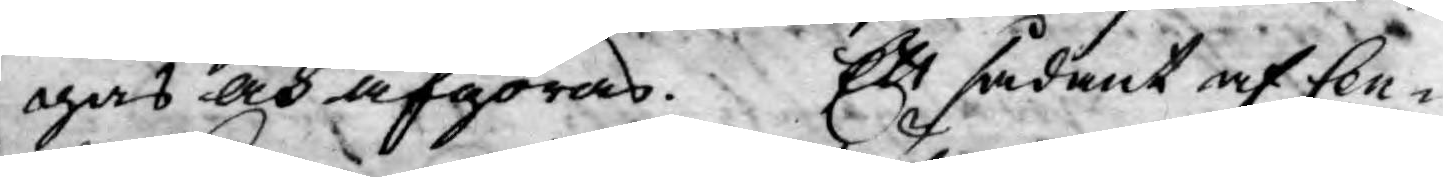gas och afgöras. Ett sådant af Cen¬
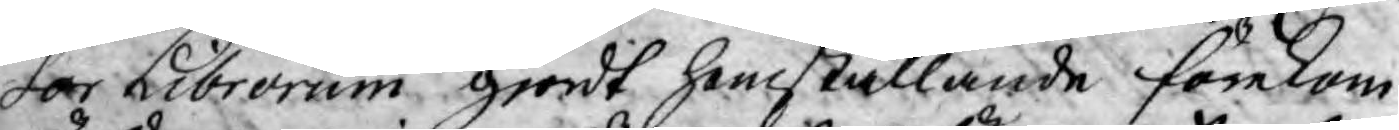sor Librorum giordt hemställande förekom
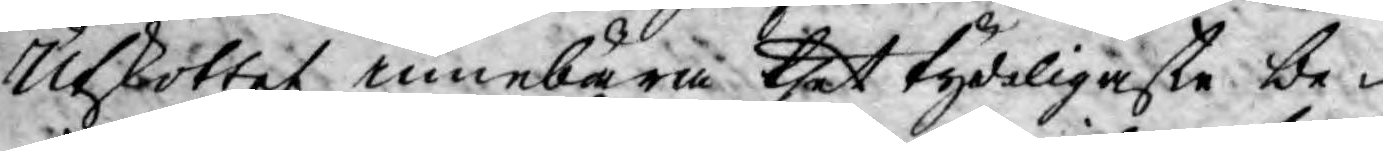Utkottet innebära thet tydeligaste be¬
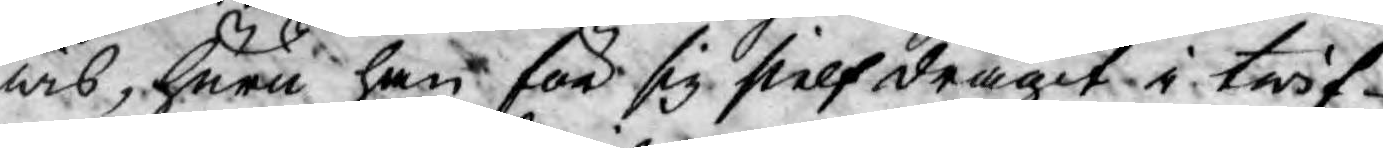wis, huru han för sig sielf dragit i twif¬
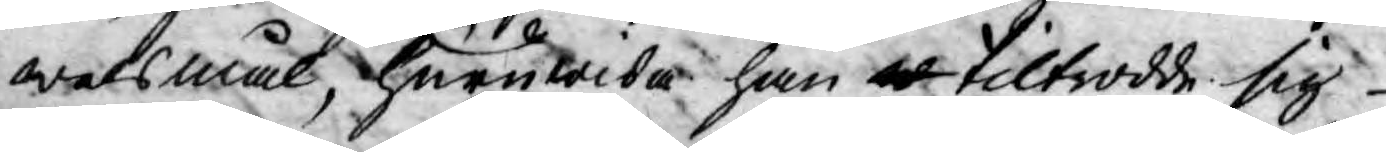welsmål, huruwida han tiltrodde sig
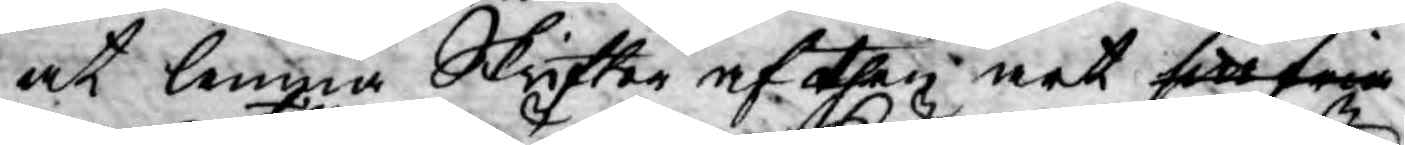at lemna Skrifter af then art sitt fria
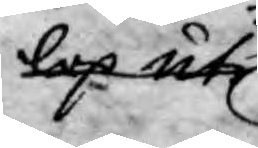lop uti
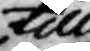till
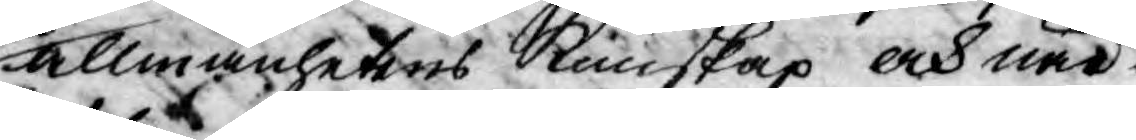allmänhetens Kunskap och när¬
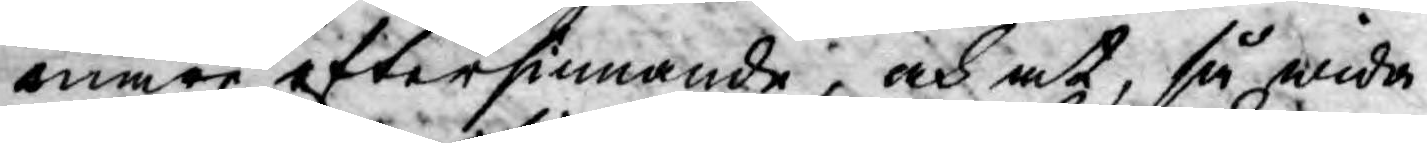mare eftersinnande, och at, så wida
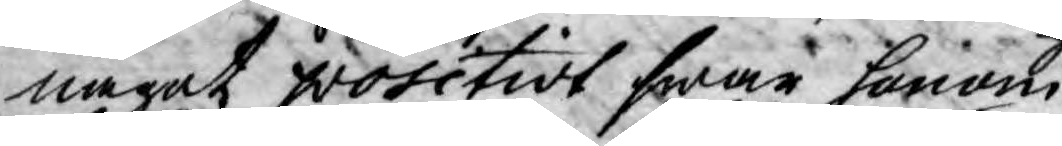något positivt swar honom
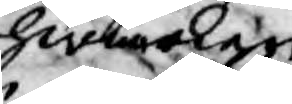hwarken
